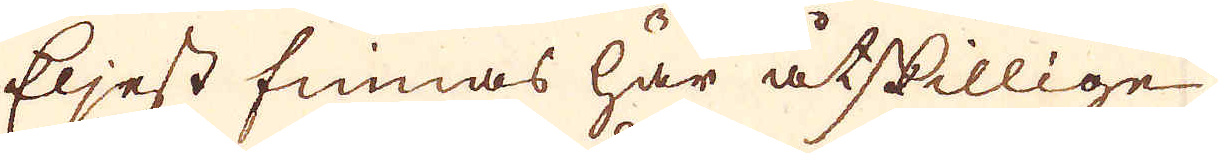Eljest finnas har åtskillige
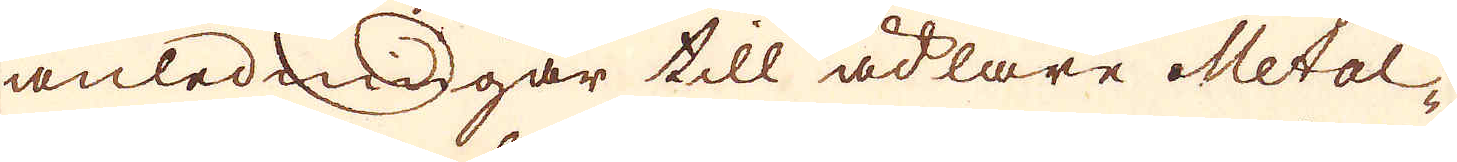anledningar till ädlare Metal-
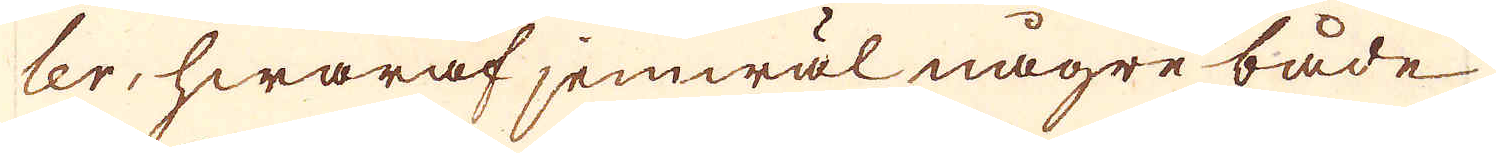ler, hwaraf jemwäl någre både
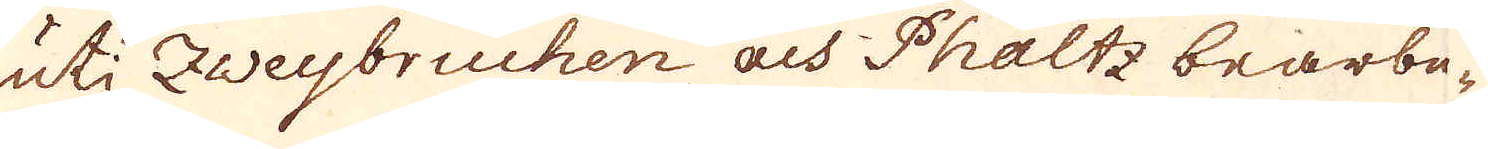uti Zweybruchen och Phaltz bearbe-
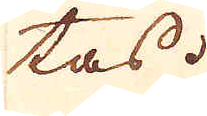tas.
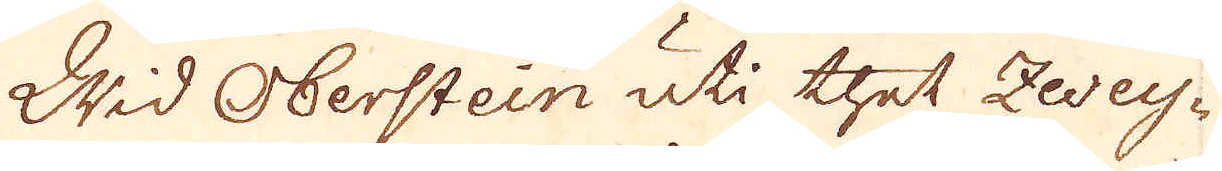Wid Oberstein uti thet Zwey-
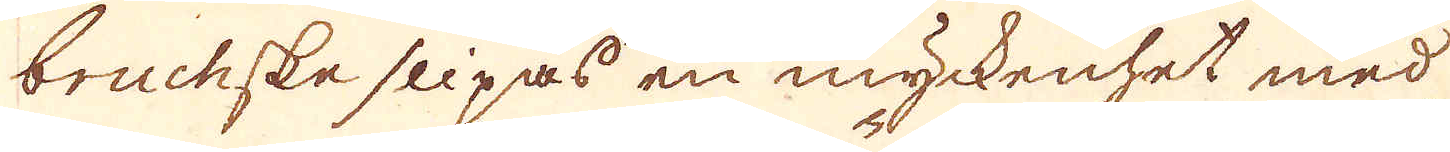bruchske slipas en myckenhet med
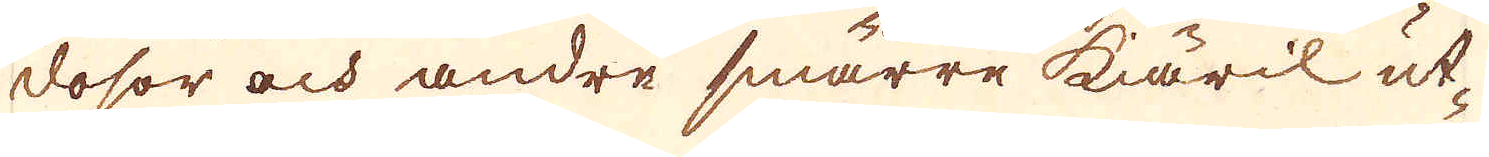dosor och andre smärre käril ut-
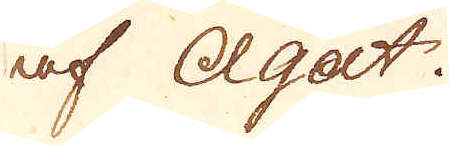af Agat
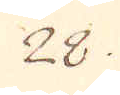28.
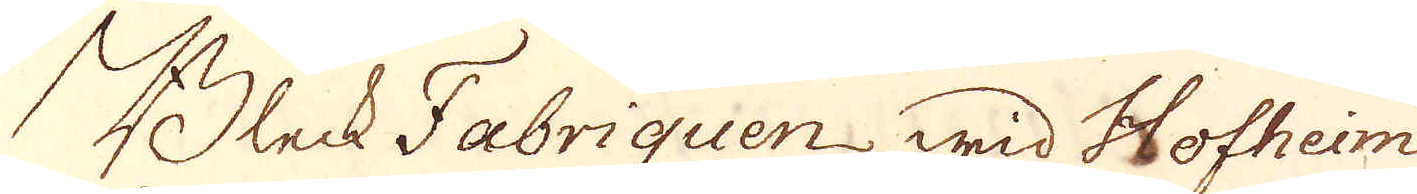Bleck Fabriquen wid Hofheim
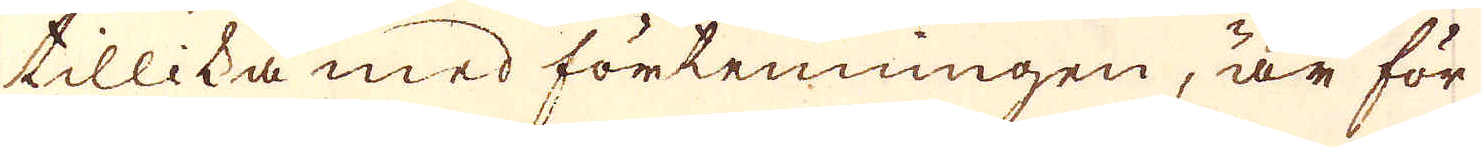tillika med förtenningen, är för
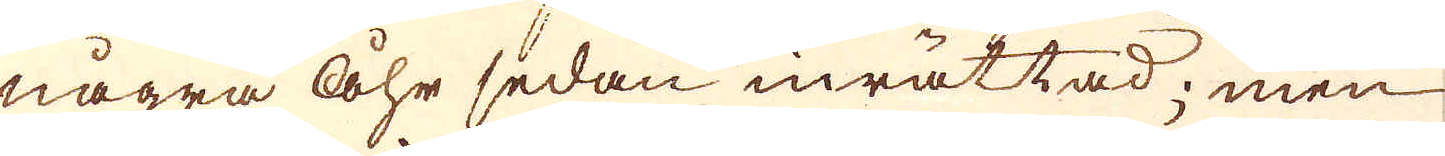några åhr sedan inrättad; men
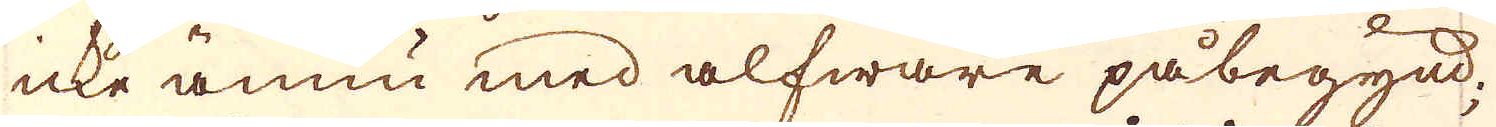icke ännu med alfware påbegynd;
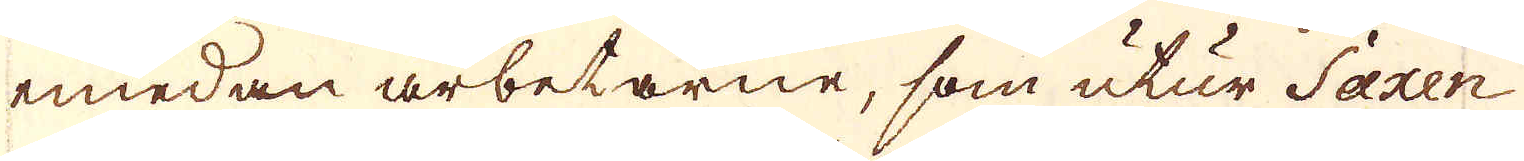emedan arbetarne, som utur Saxen
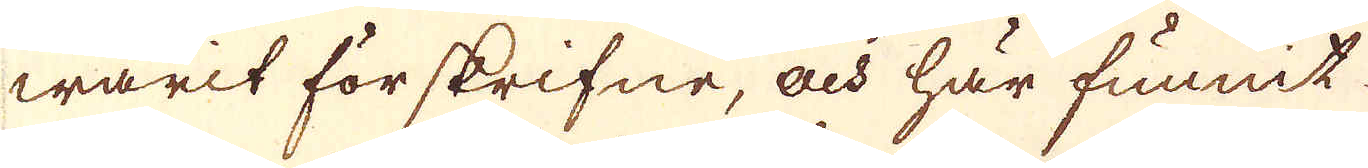warit för skrifne, och här funnit
